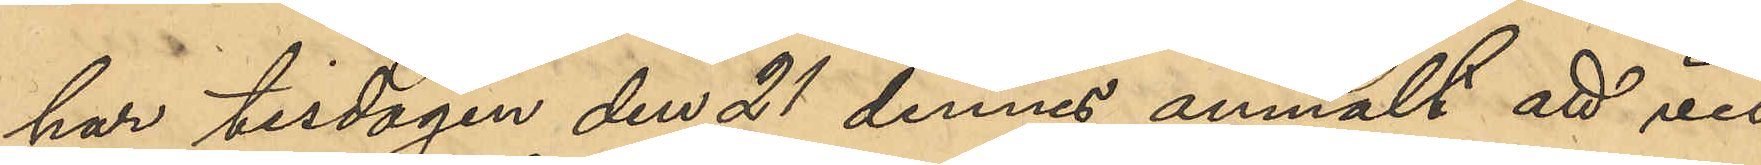har tisdagen den 21 dennes anmält att vid
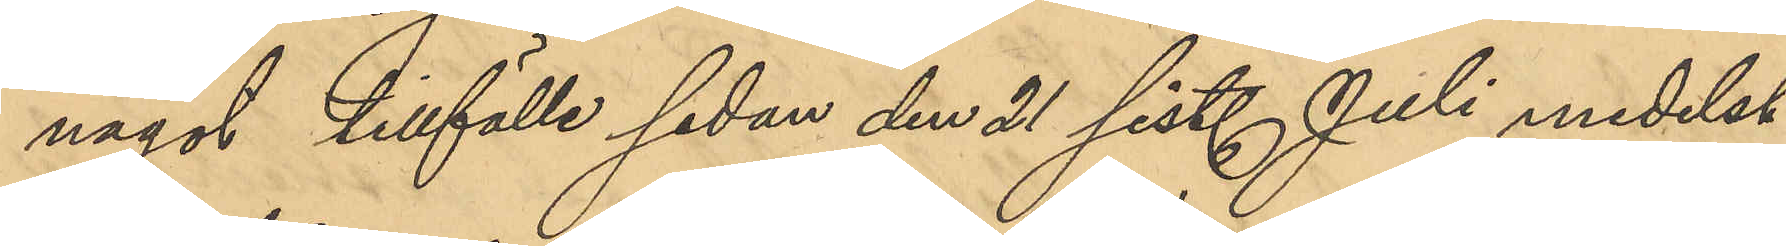något tillfälle sedan den 21 sist. Juli medelst
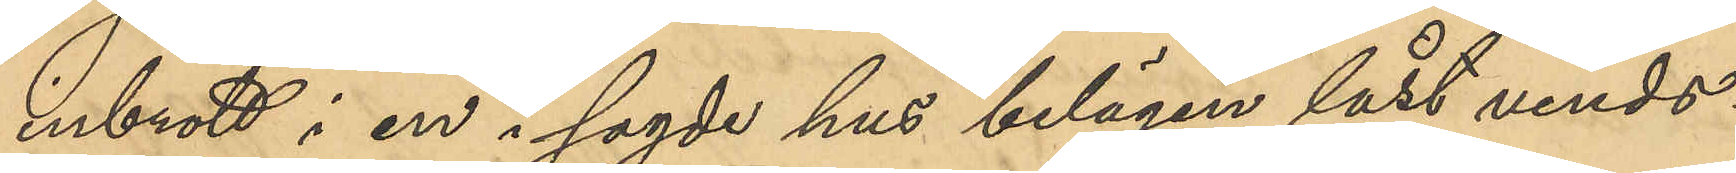inbrott i en i sagde hus belägen låst vinds¬
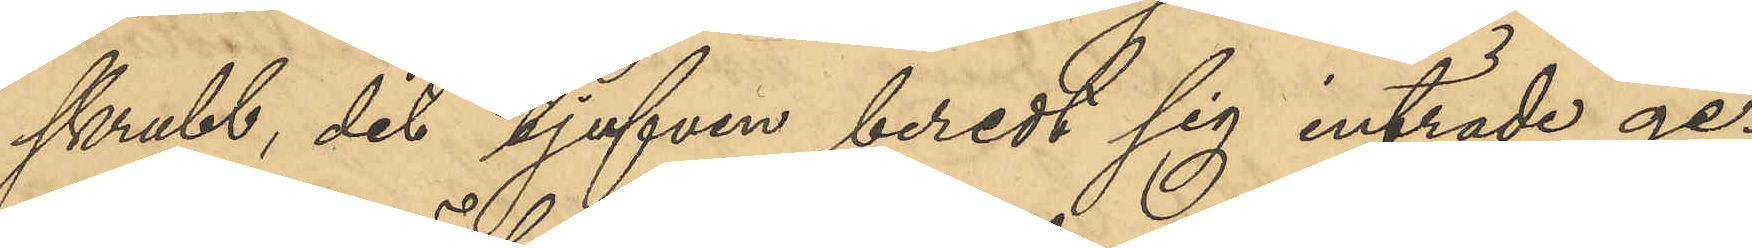skrubb, dit tjufven beredt sig inträde ge¬
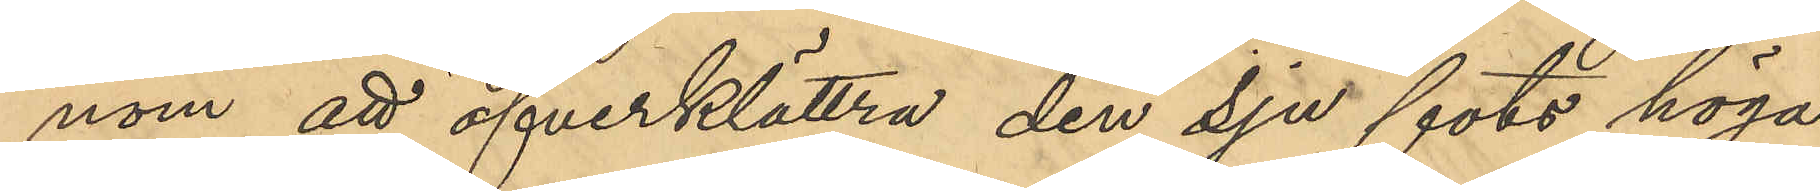nom att öfverklättra den sju fots höga
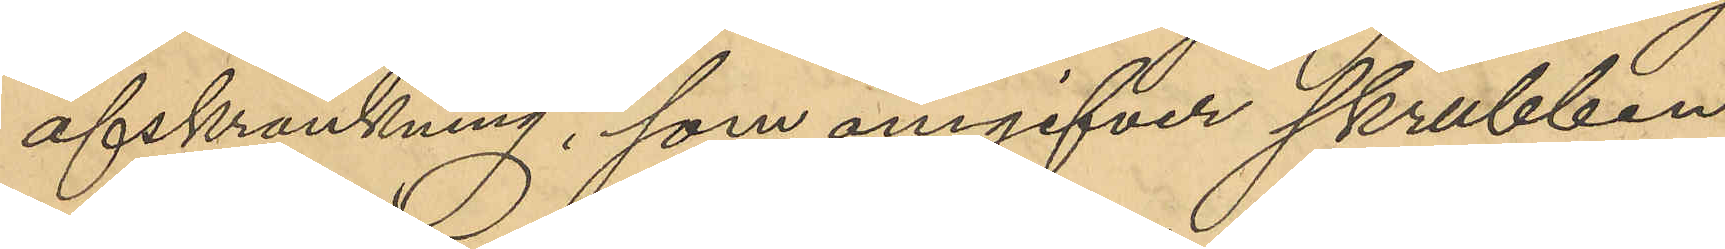afskrankning, som omgifver skrubben
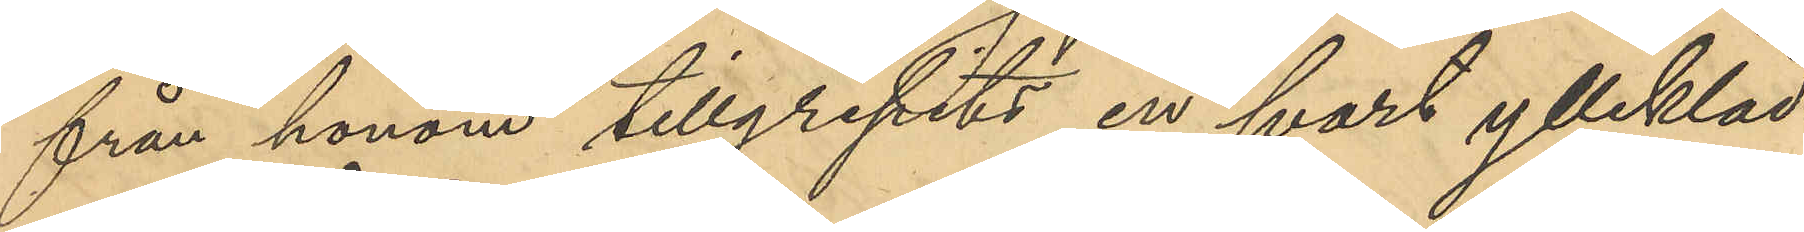från honom tillgripits en svart yllekläd¬
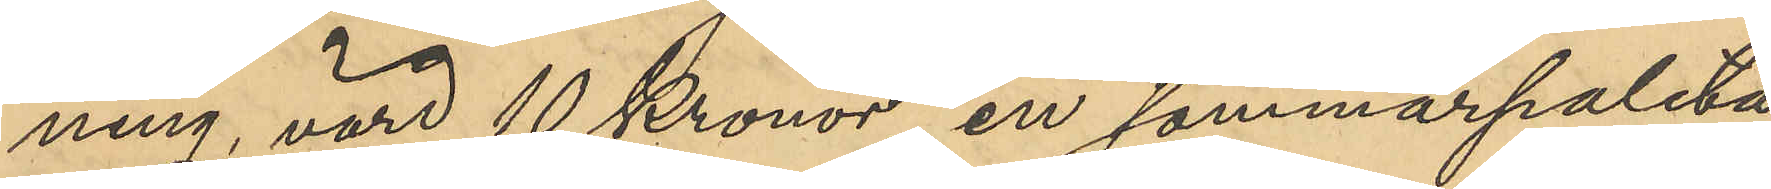ning, värd 10 Kronor, en sommarpaletå
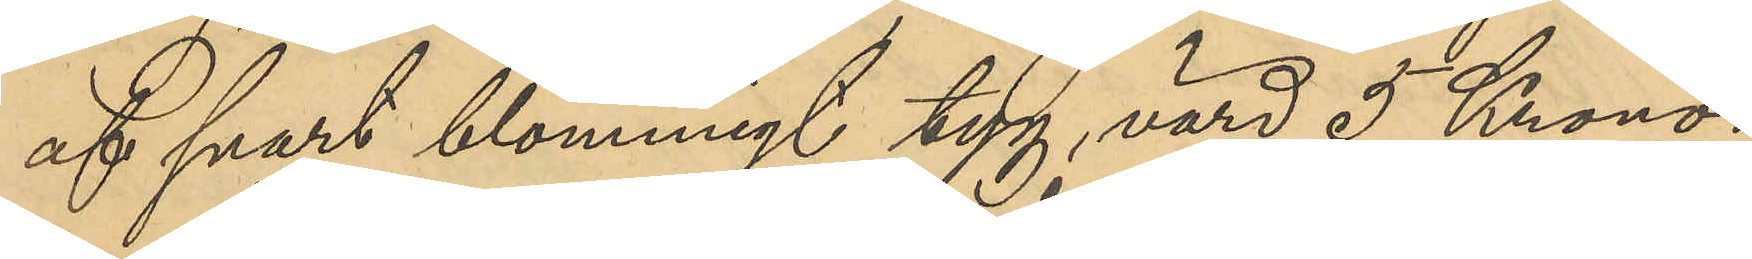af svart blommigt tyg, värd 5 Kronor,
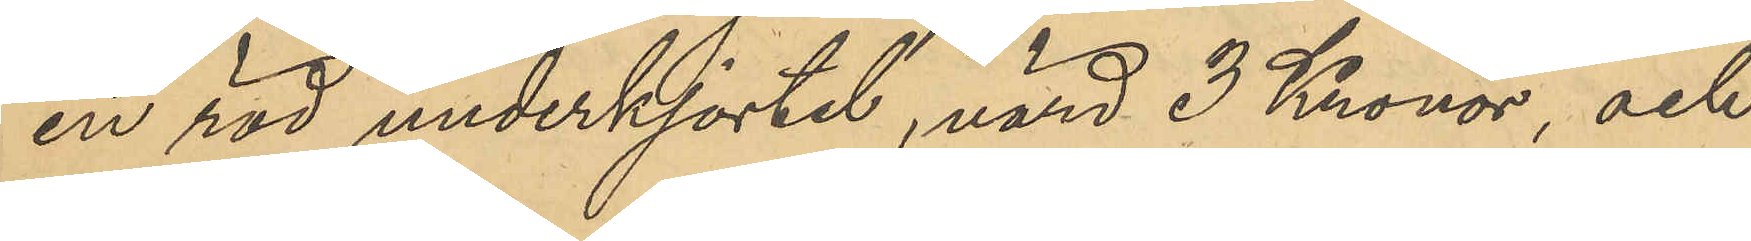en röd underkjortel, värd 3 Kronor, och
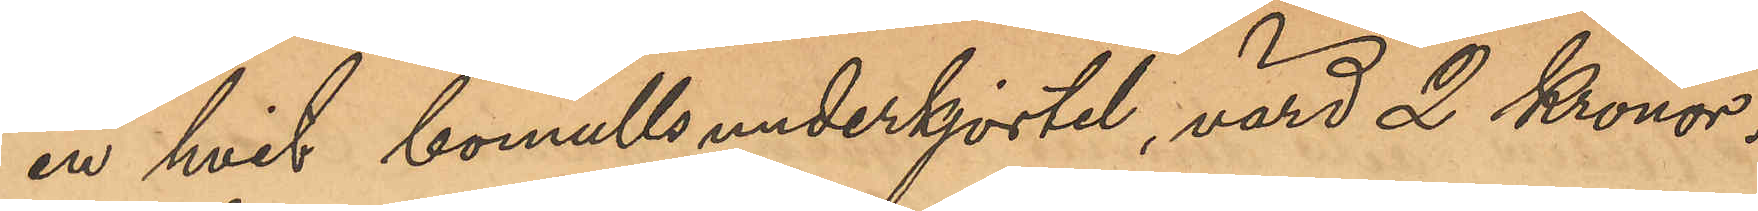en hvit bomullsunderkjortel, värd 2 Kronor.
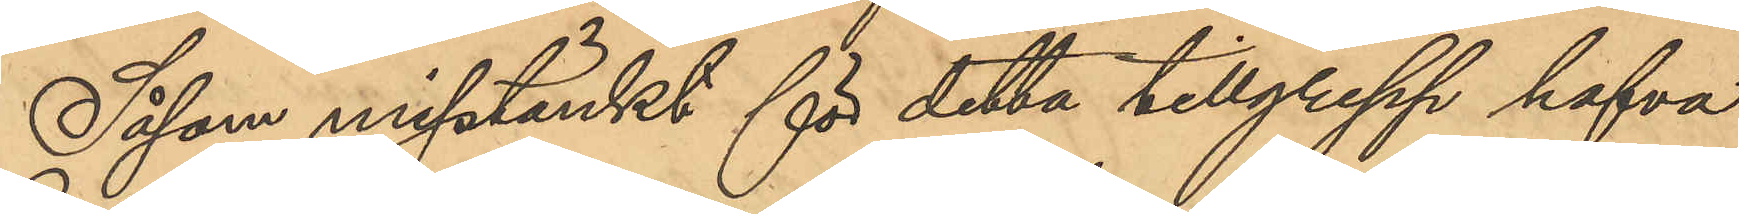Såsom misstänkt för detta tillgrepp hafva
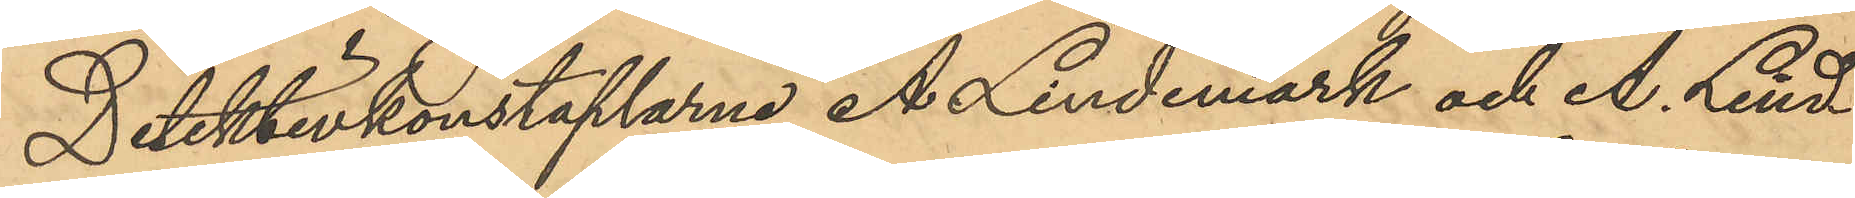Detektivkonstaplarne A. Lindemark och A. Lind¬
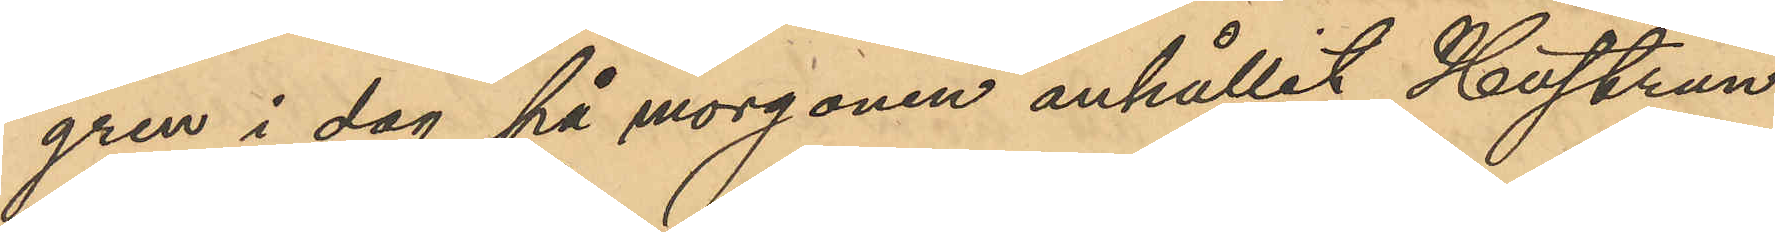gren i dag på morgonen anhållit Hustrun
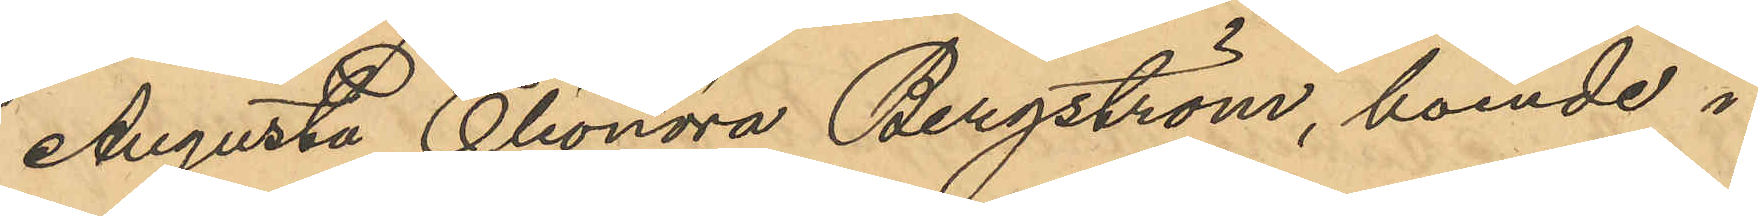Augusta Eleonora Bergström, boende i
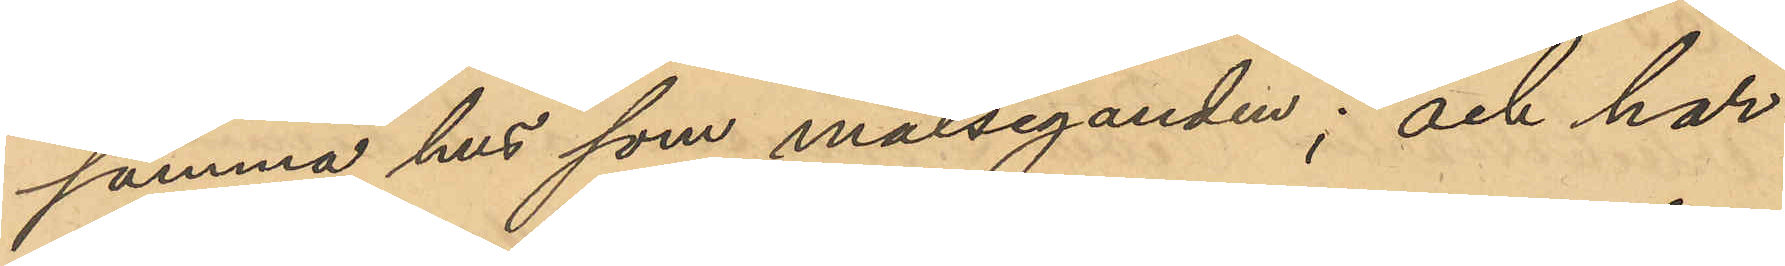samma hus som målseganden; och har
